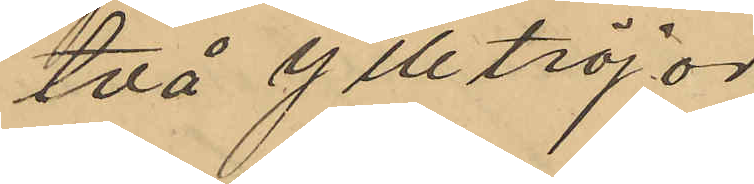två ylletröjor
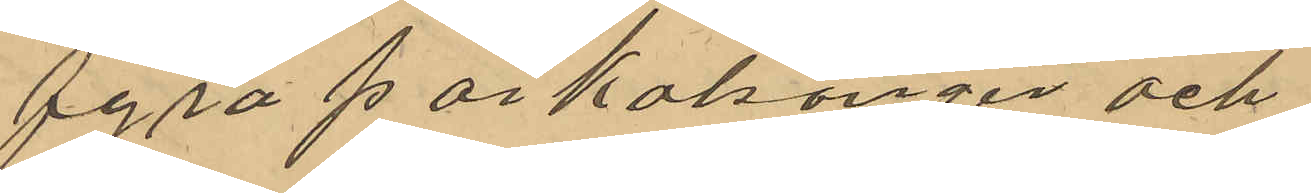fyra par kalsonger och
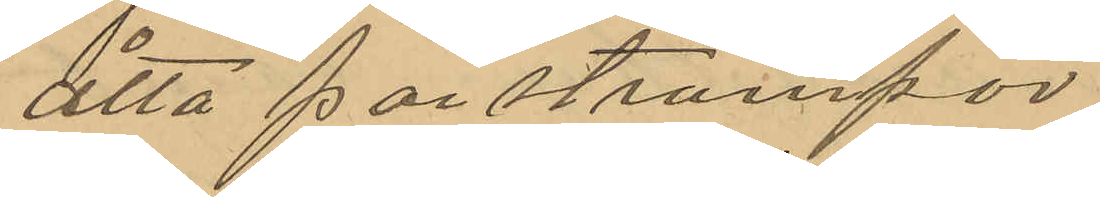åtta par strumpor
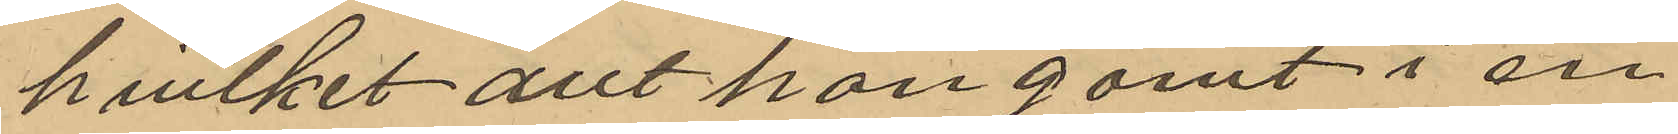hvilket allt han gömt i en
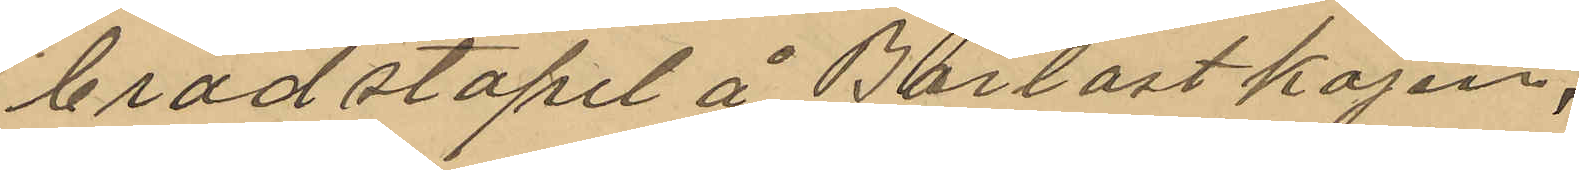brädstapel å Barlastkajen,
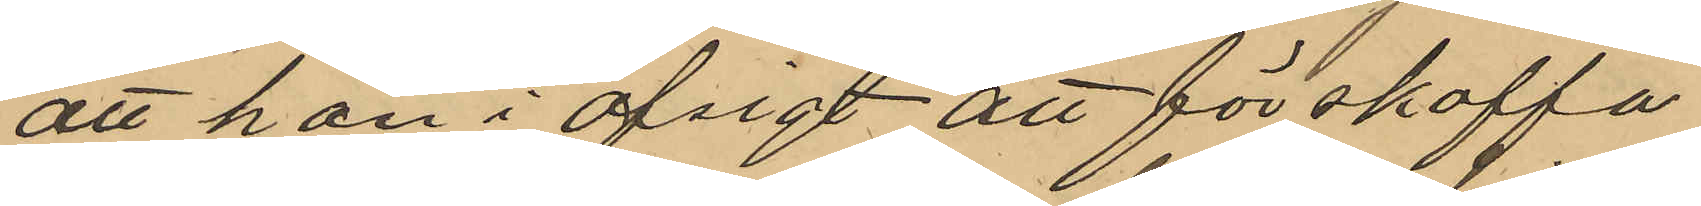att han i afsigt att förskaffa
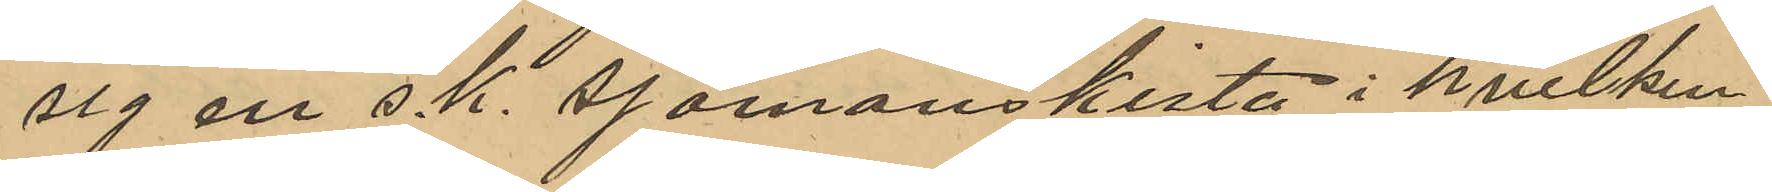sig en s.k. sjömanskista i hvilken
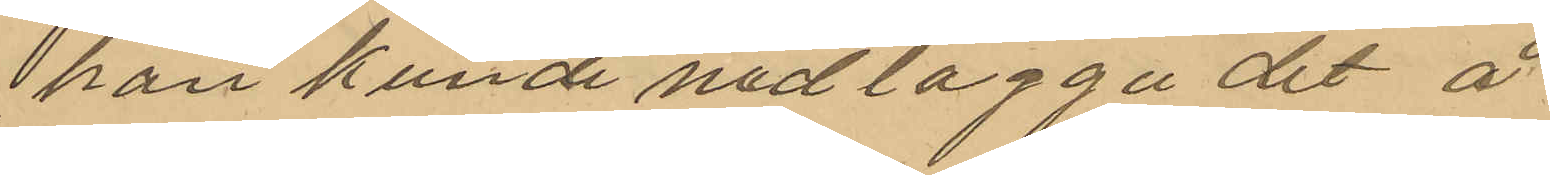han kunde nedlägga det å
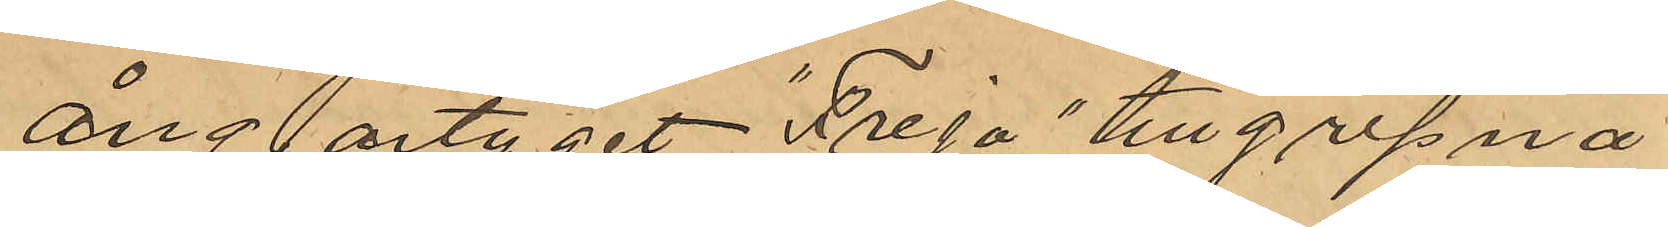ångartyget "Freja" tillgripna
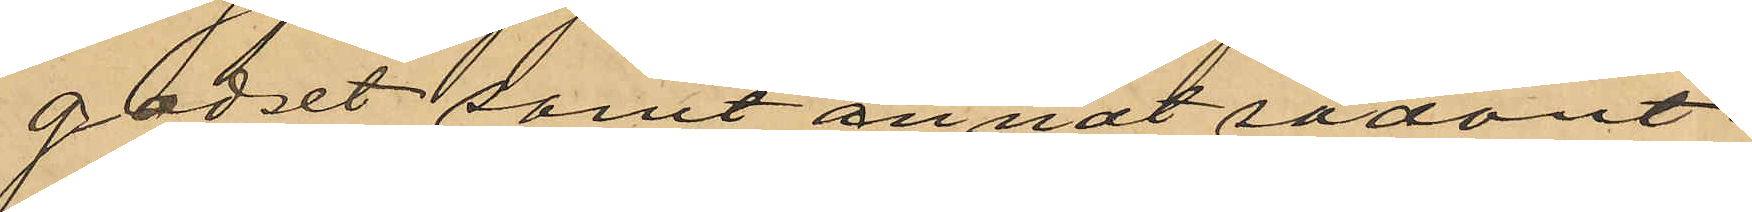godset samt annat sådant
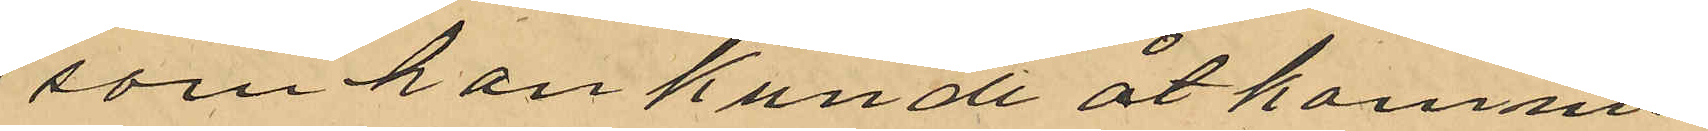som han kunde åtkomma
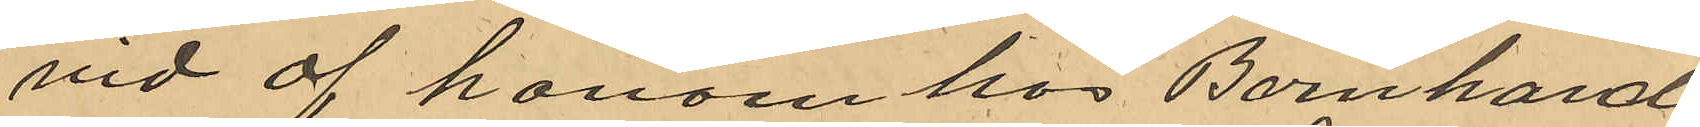vid af honom hos Bernhard
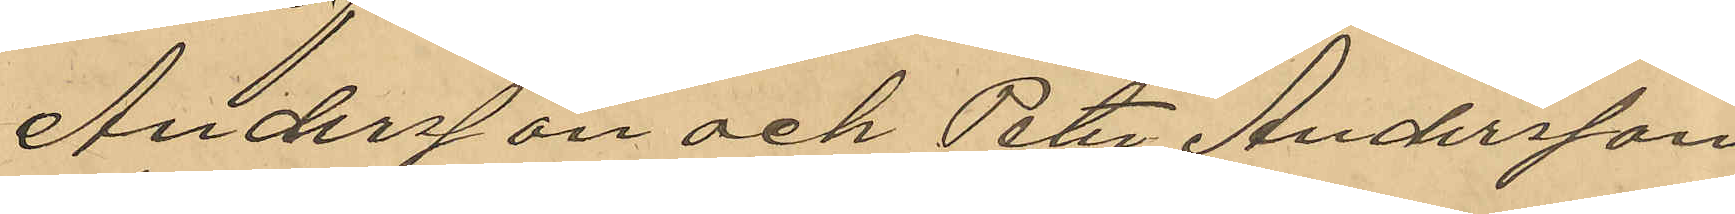Andersson och Peter Andersson
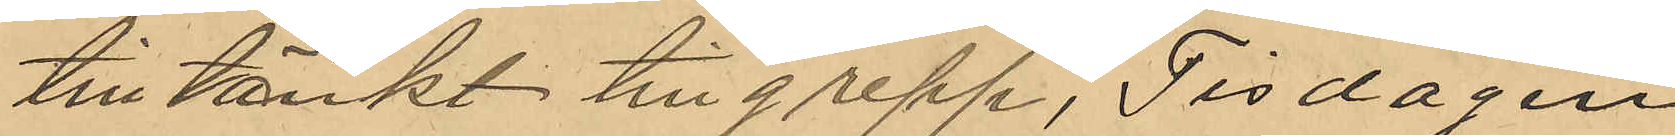tilltänkt tillgrepp, Tisdagen
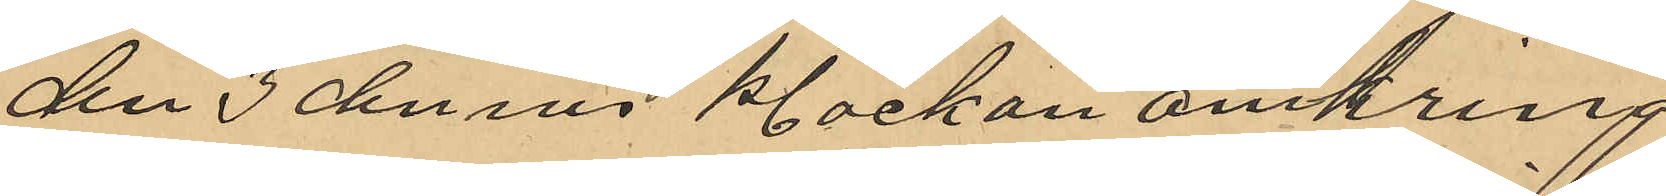den 3 dennes klockan omkring
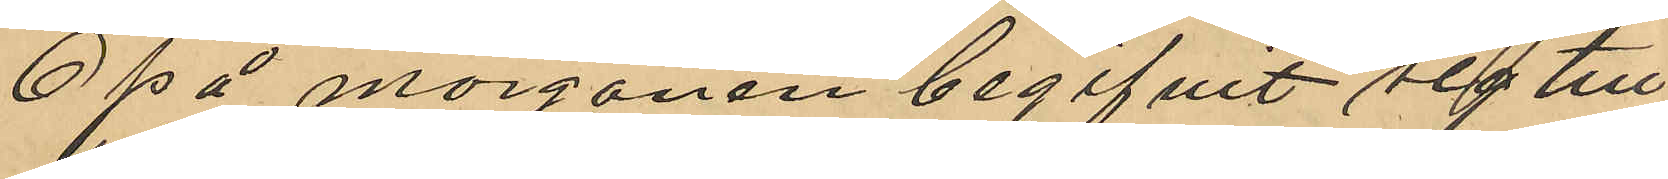6 på morgonen begifvit sig till
